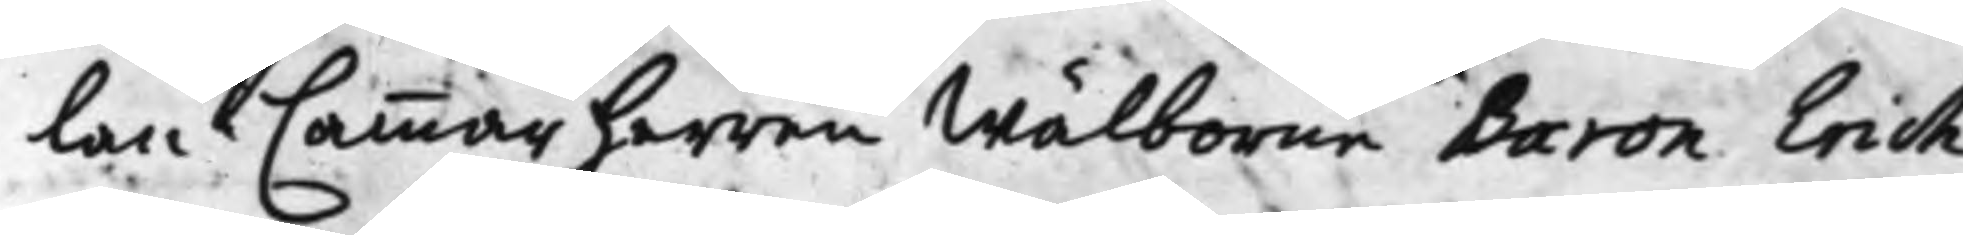lan Cammarherren Wälborne Baron Erich
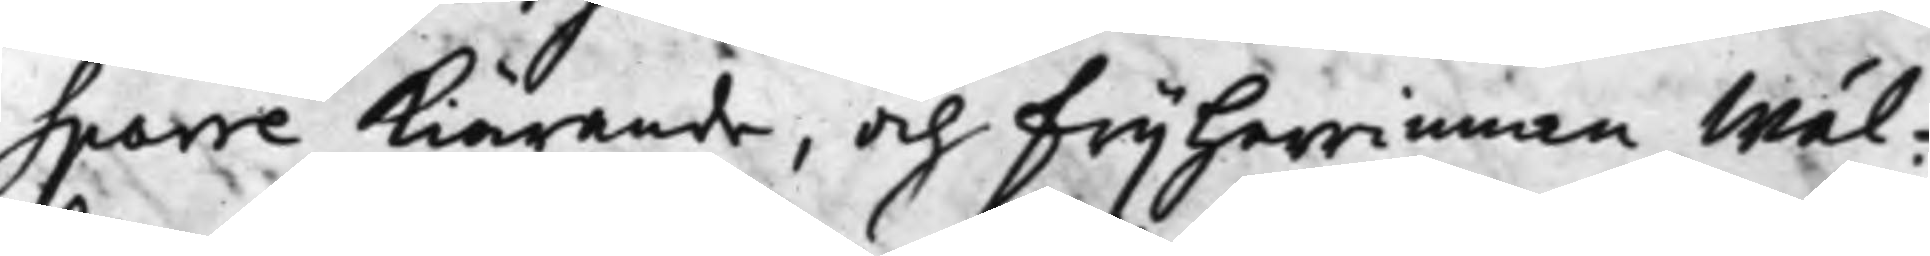Sparre kiärande, och Frijherrinnan Wäl¬
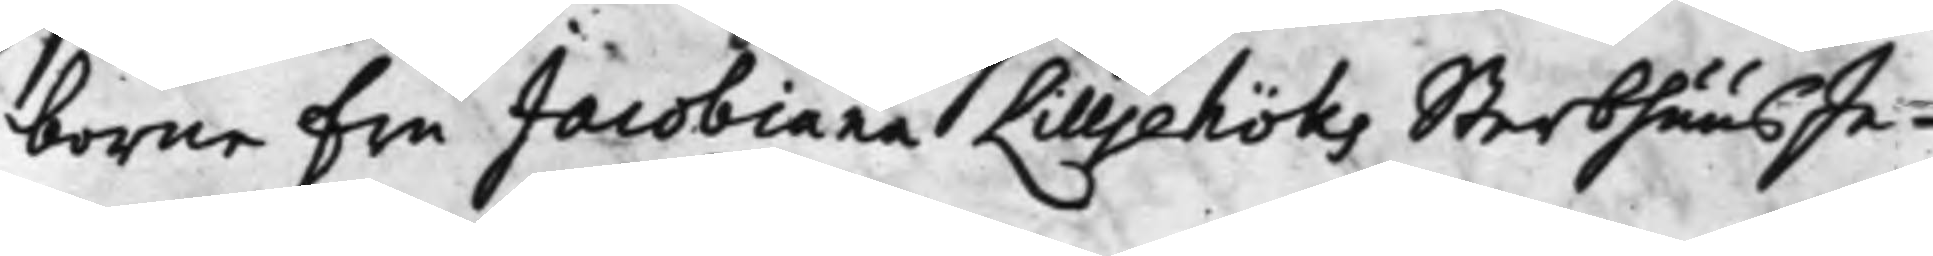borne Fri Jacobiana Lillehöks SterbhuusIn¬
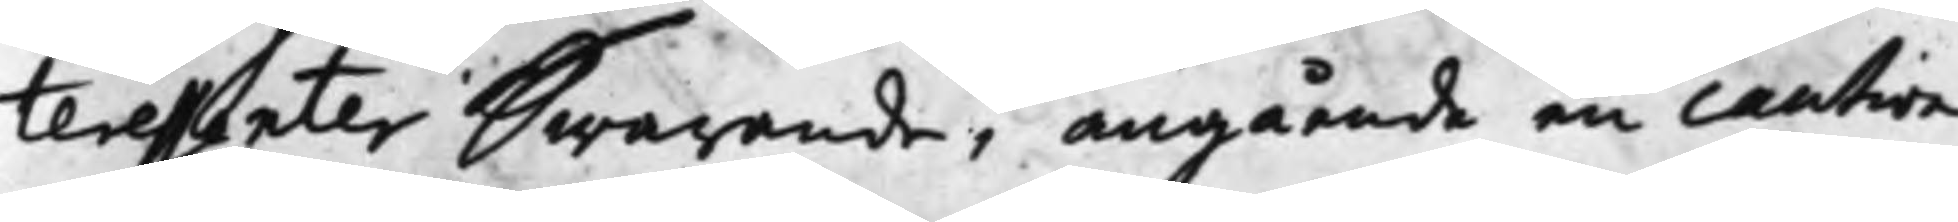teressenter Swarande, angående en caution
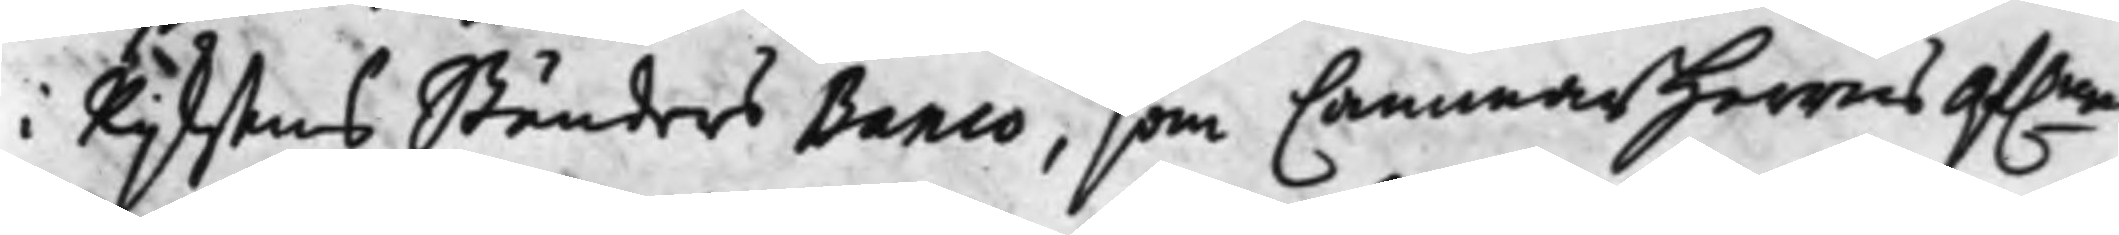i Rijksens Ständers Banco, som CammarHerrns af.ne
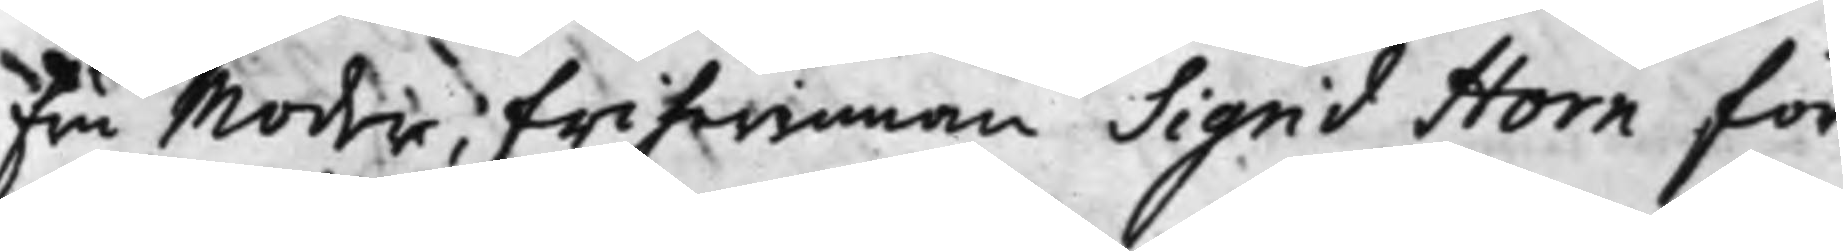Fru Moder, Friherinnan Sigrid Horn för
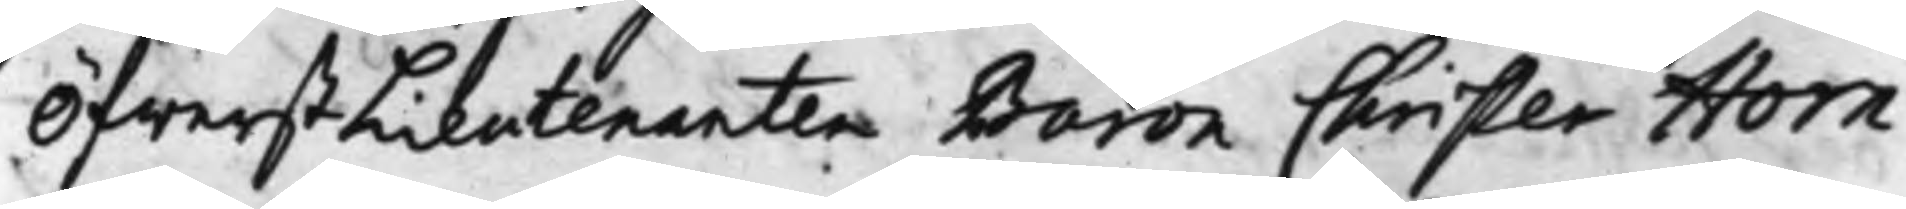ÖfverstLieutenanten Baron Christer Horn
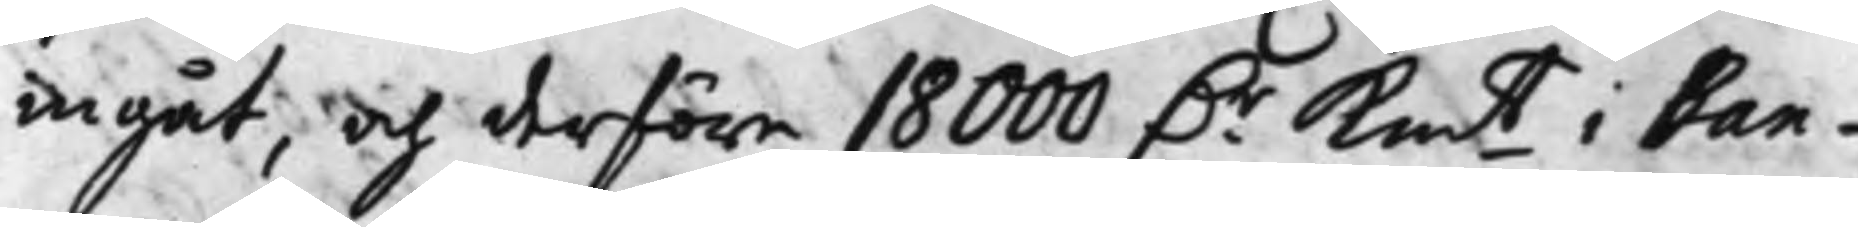ingåt, och derföre 18 000 D.r Km.t i Ban¬
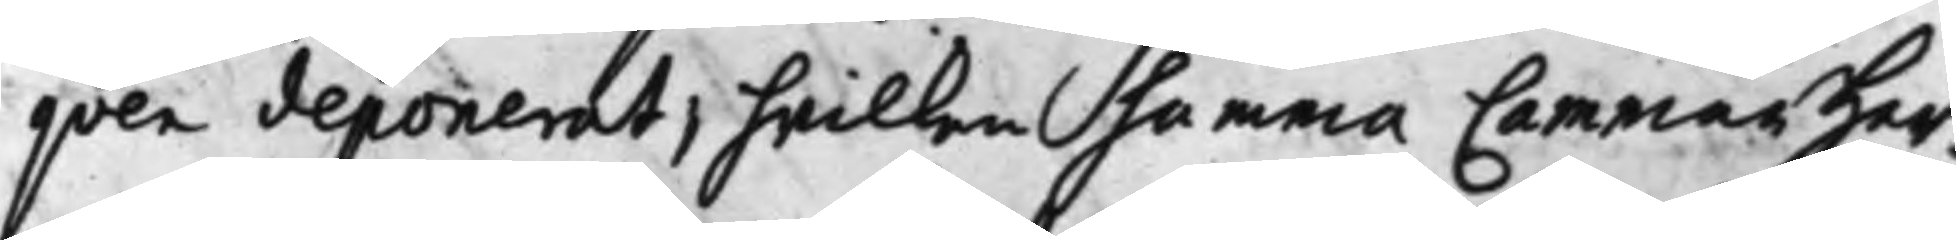qven deponerat, hvilken summa Cammarher¬
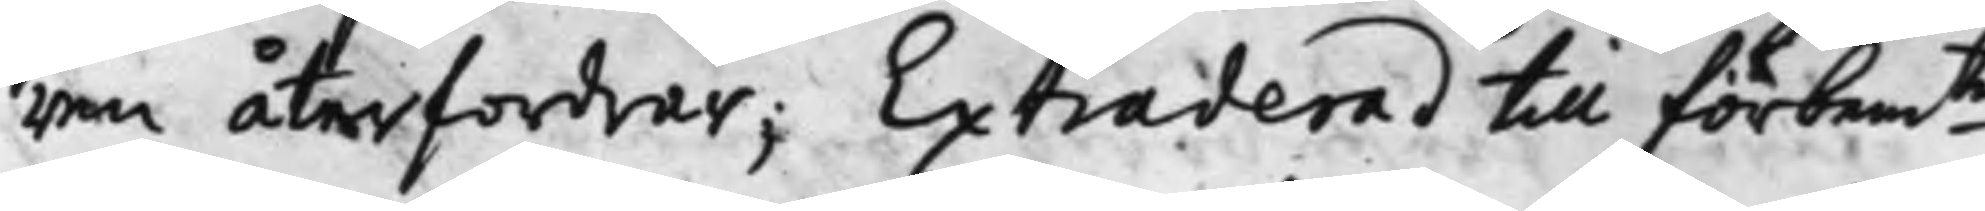ren återfordrar; Extraderad till förbem.te
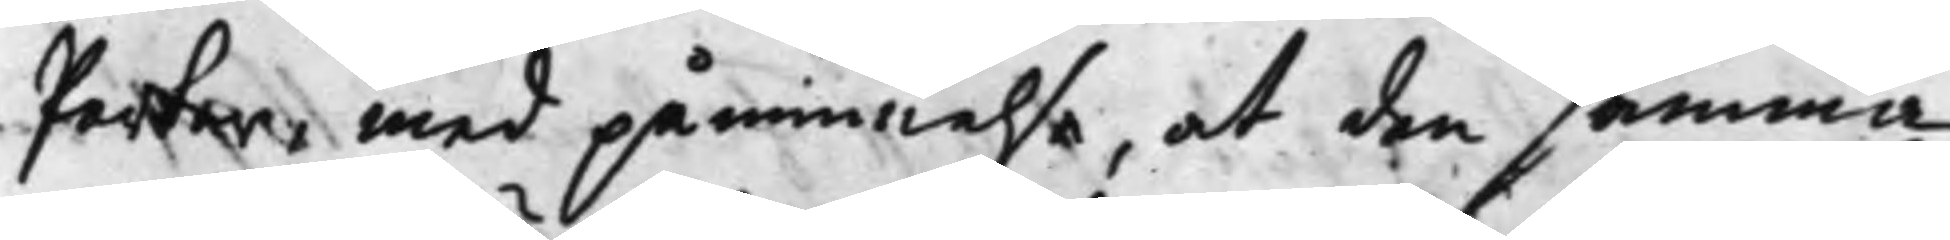Parter, med påminnelse, at den samma
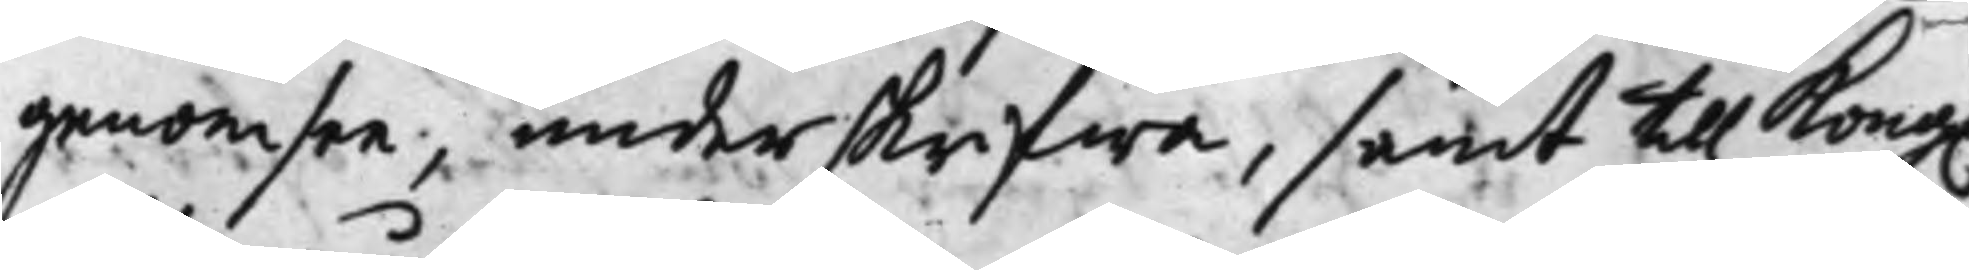genomsee, underskrifwa, samt till Kong.
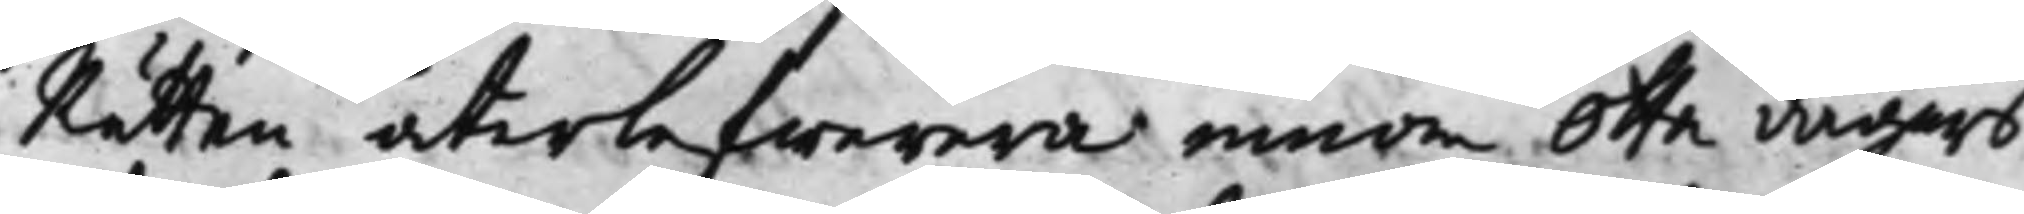Rätten återlefwerera innom Otta dagars
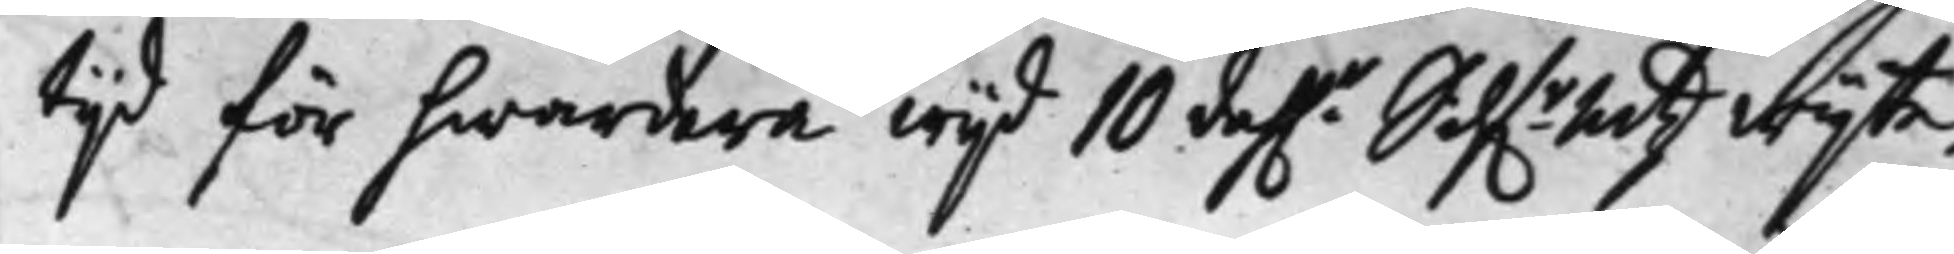tijd för hwardera wijd 10 dah.r Silf.rmtz wijte.
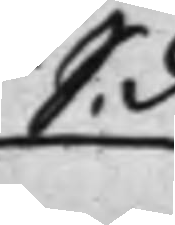S. d
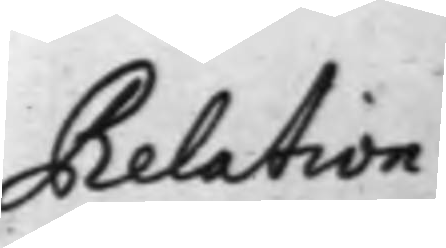Relation
